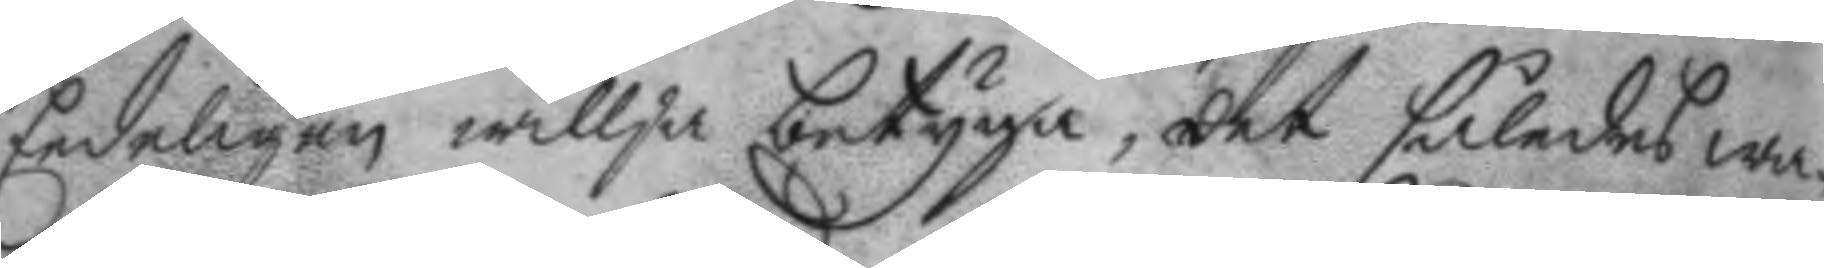Eedeligen willja betyga, det således wa¬
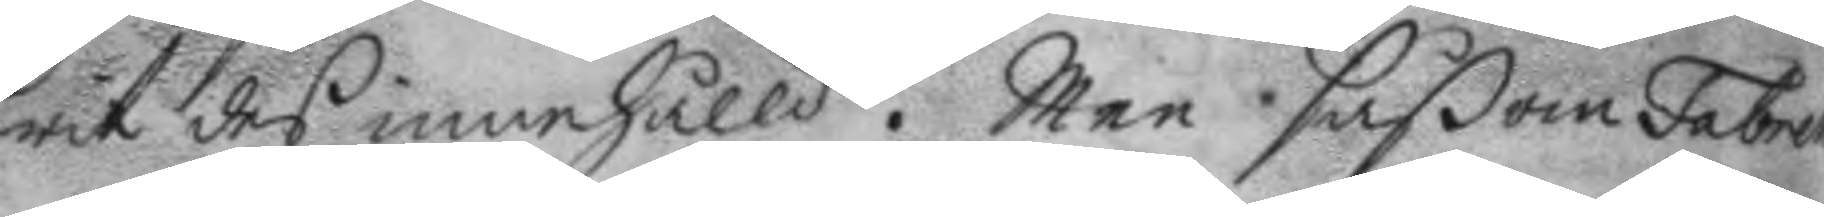rit des innehålld. Men såßom Fabrell
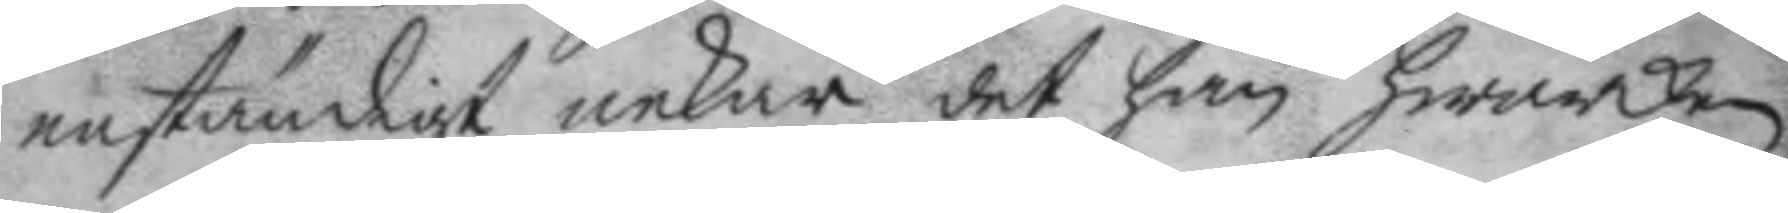enständigt nekar det han hwarken
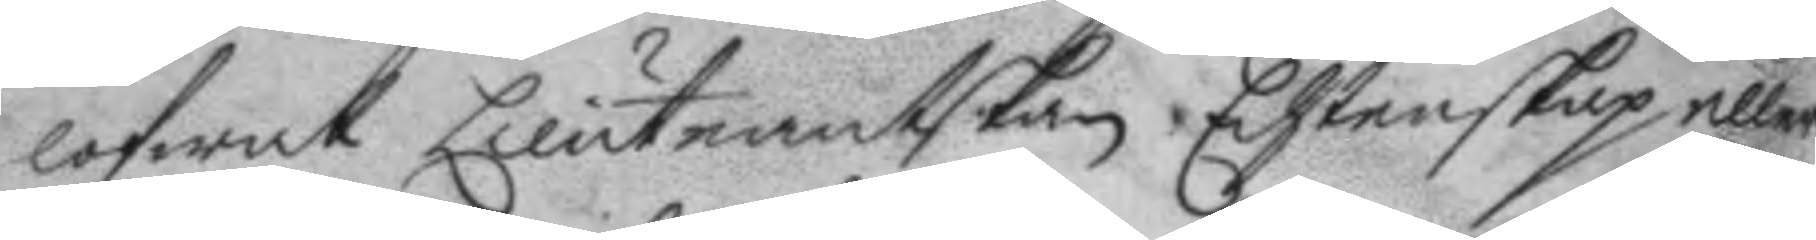lofwat Lieutnantskan Echtenskap eller
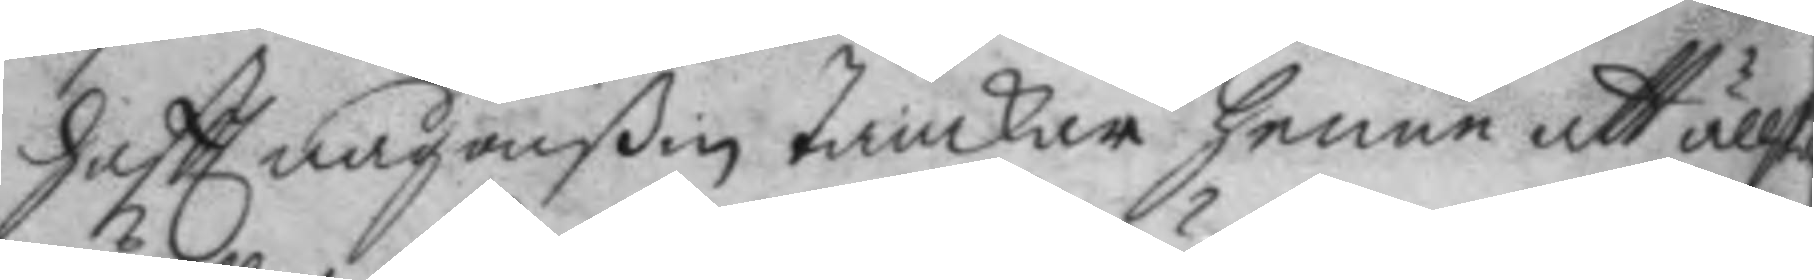haftt någonßin tankar henne att ällska
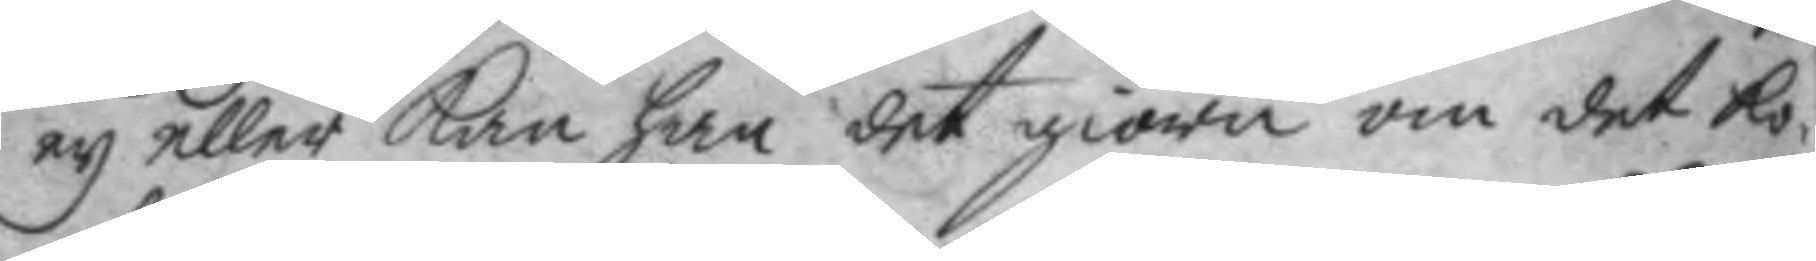ey eller kan han det giöra om det ko¬
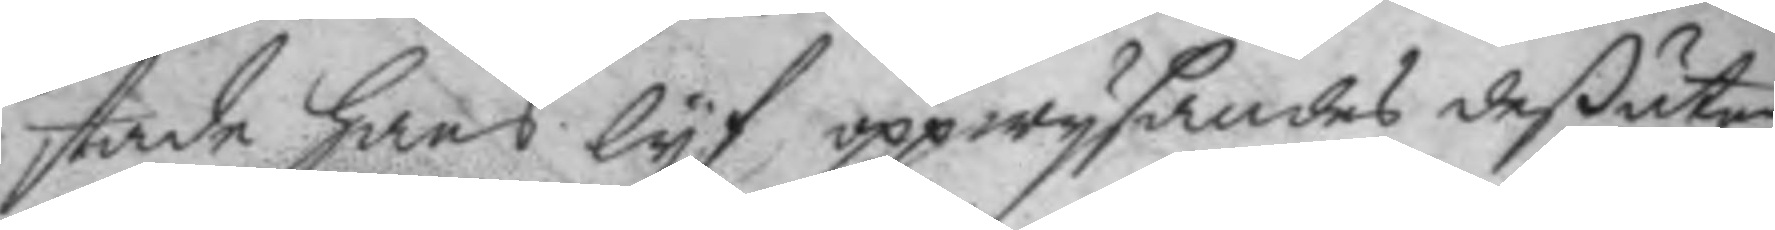stade hans lyf, oppwysandes deßutan
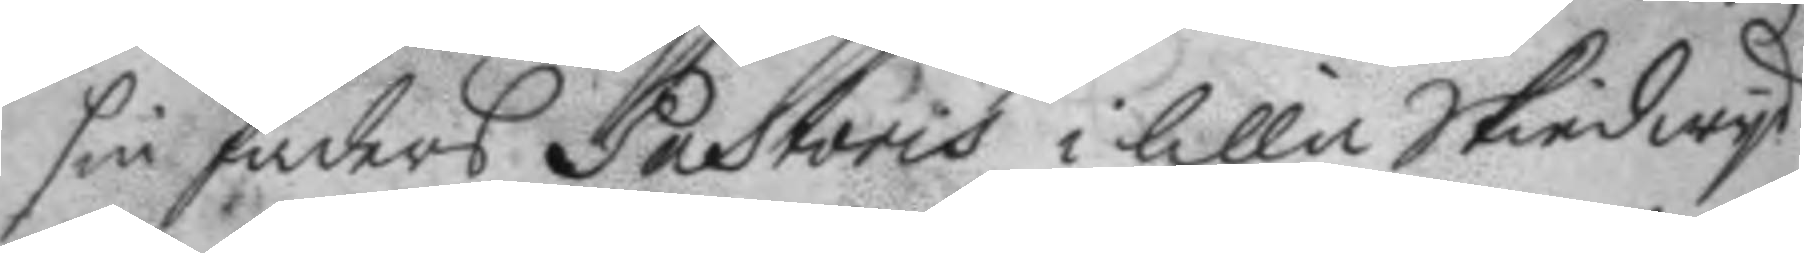sin faders Pastoris i lilla Skied wyd
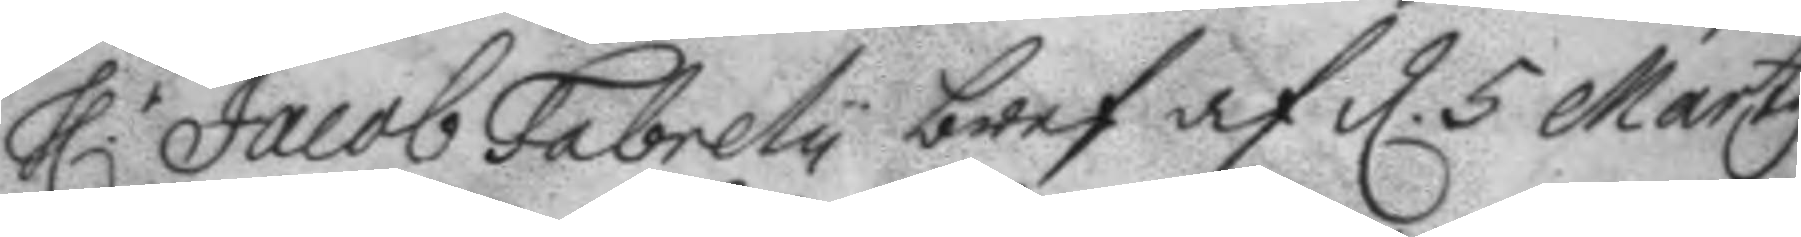h.r Jacob Fabrely bref af d. 5 Marty
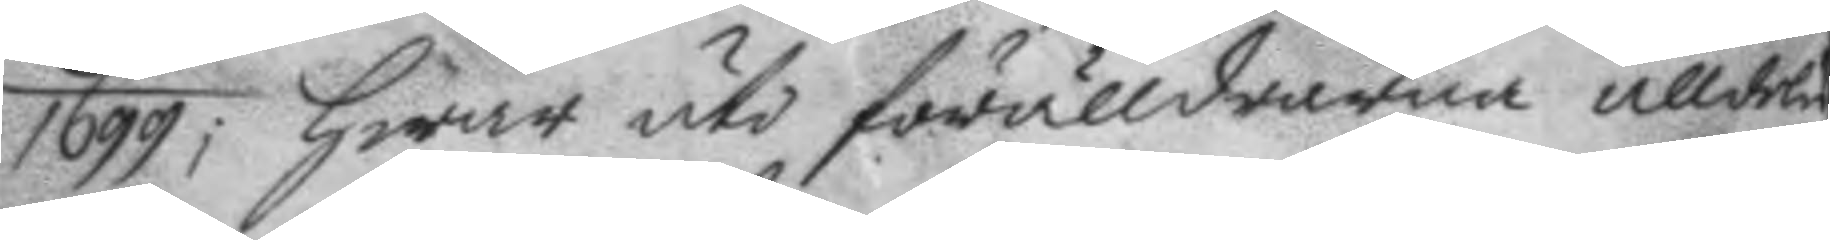1699; hwar uti förälldrarna alldeles
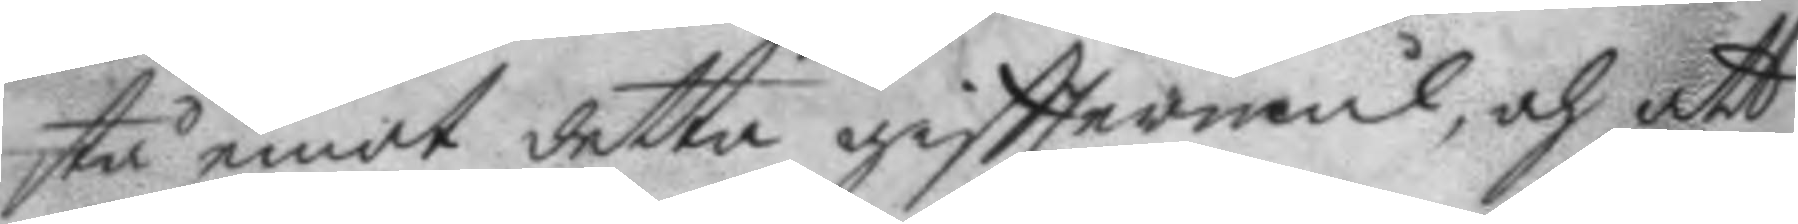stå emot detta gifttermål, och att
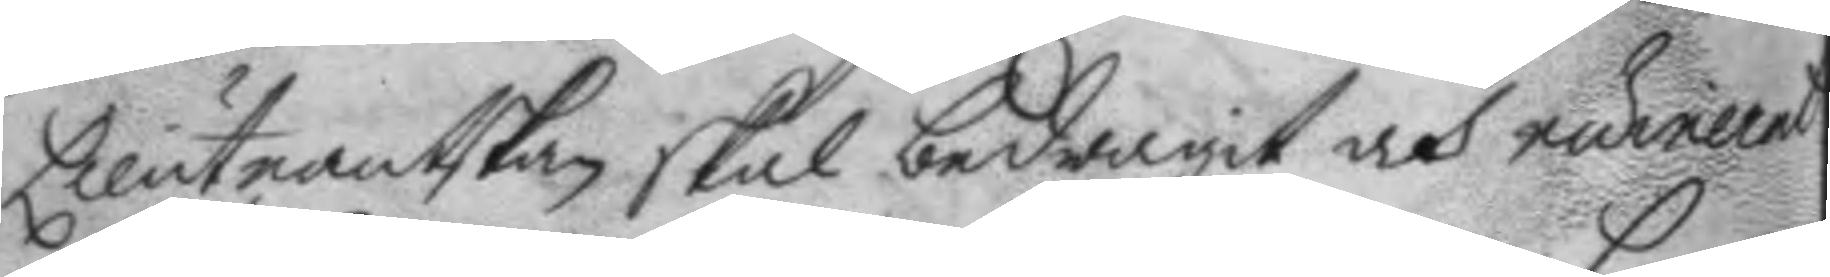Lieutnantskan skal bedragit och ruinerat
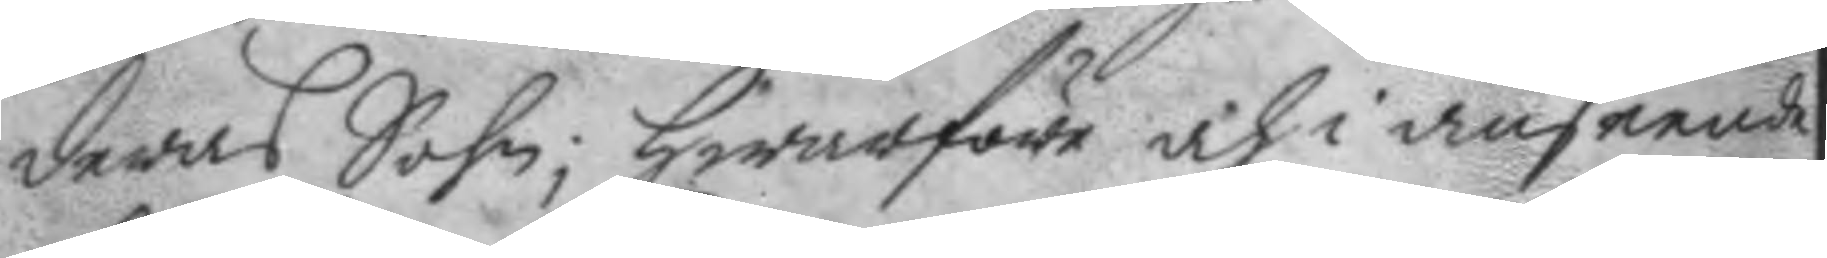deras Sohn; hwarföre och i anseende
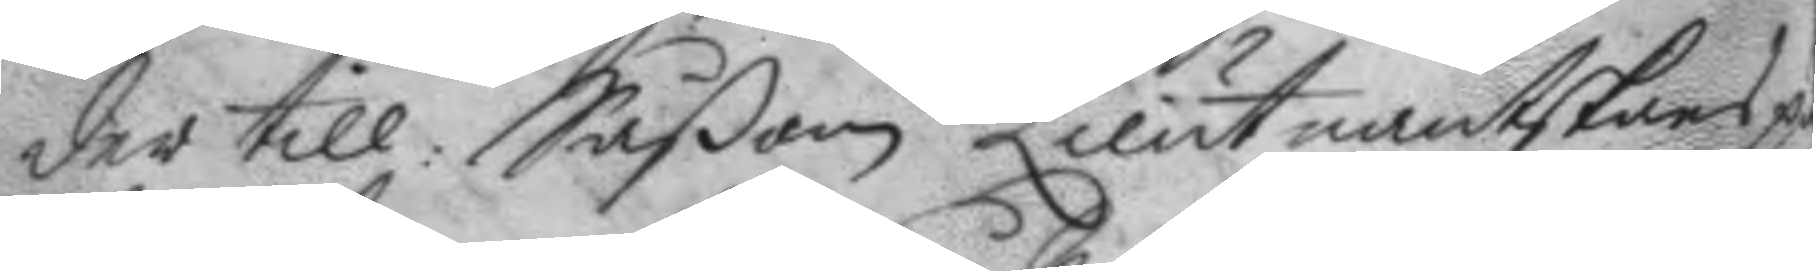der till: Såßom Lieutnantskans på¬
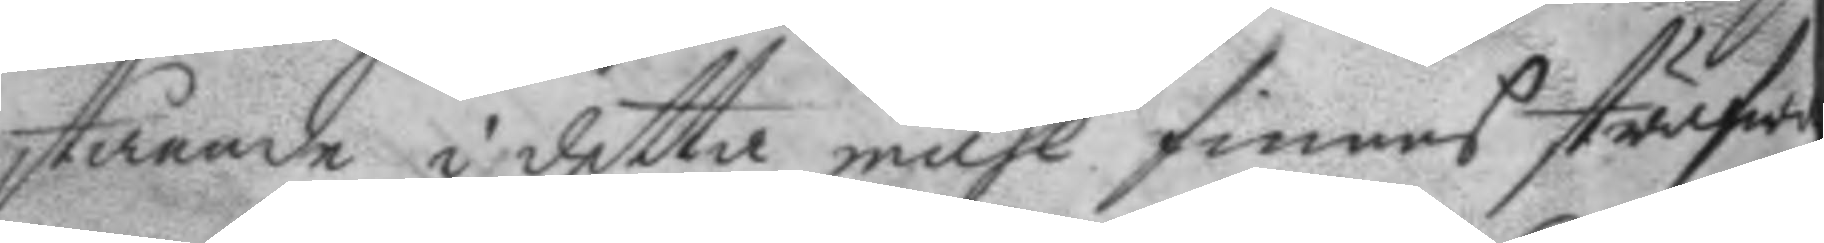stående i detta måhl finnes sträfwa
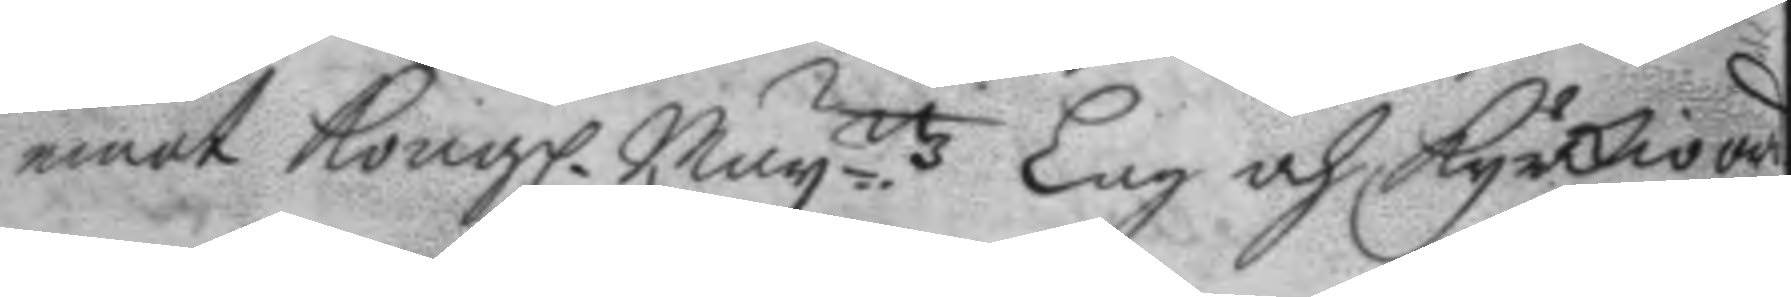emot Kongl. May.ttz Lag och Kyrkioord¬
